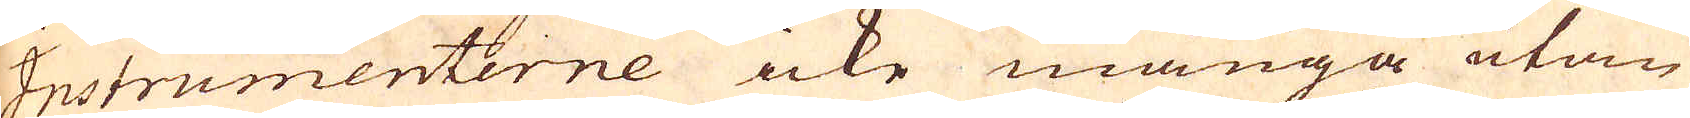Instrumenterne icke många utan
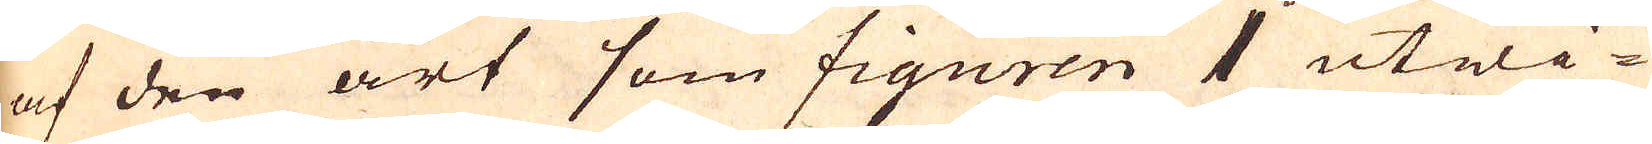af den art som figuren 1 utwi-
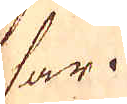sar.
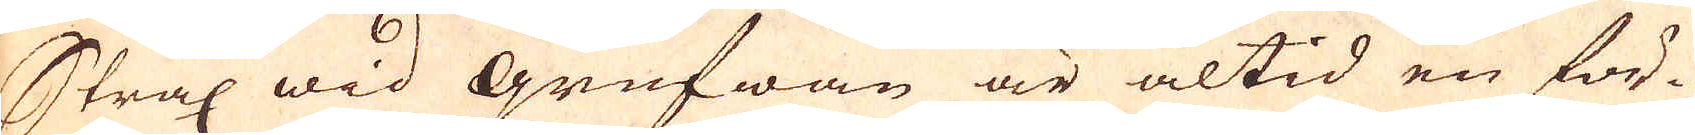Strax wid Grufwan är altid en för-
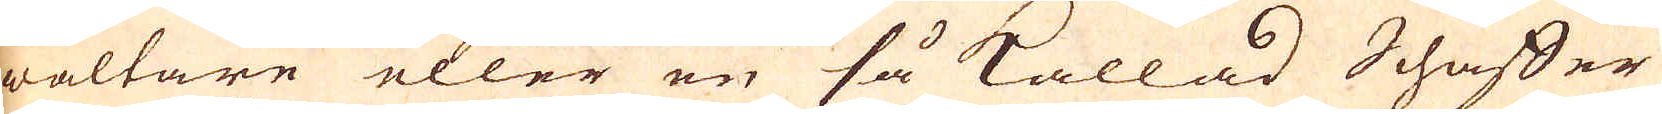waltare eller en så kallad Schaffer
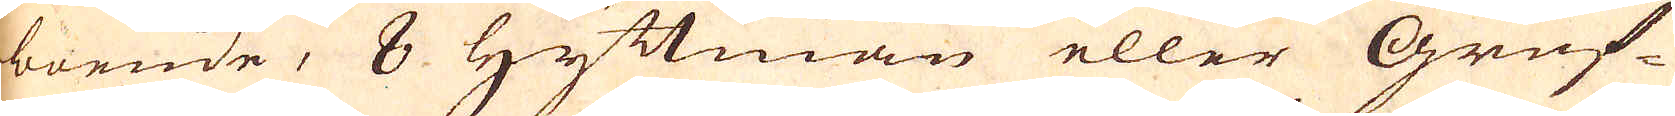boende, 8 Hyttmän eller Gruf-
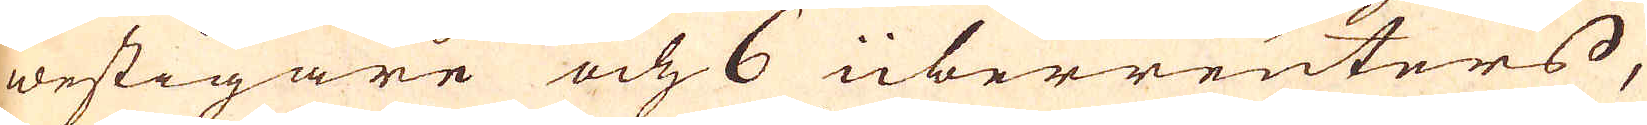westigare och 6 überreuters,
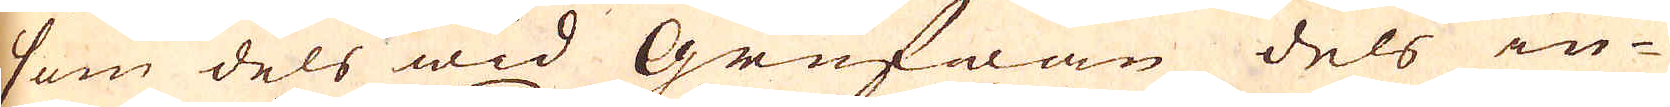som dels wid Grufwan dels in-
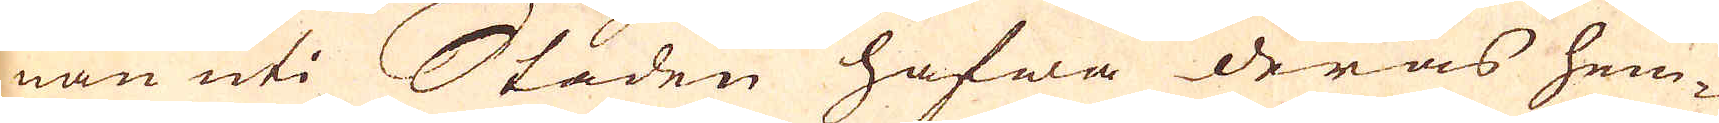nan uti Staden hafwa deras hem-
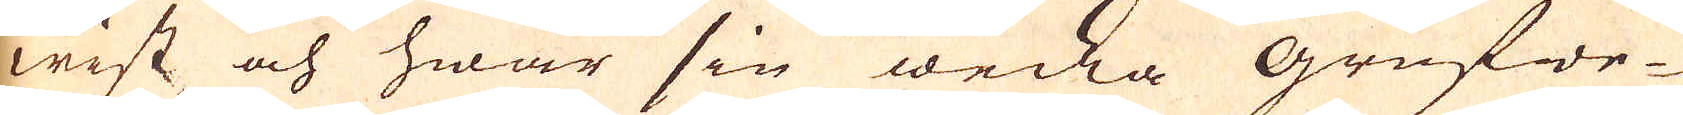wist och hwar sin wecka grufwe-
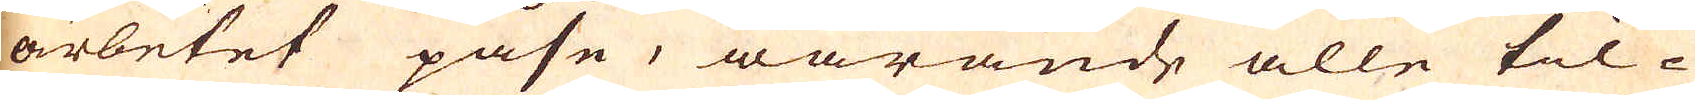arbetet påse, warande alle til-
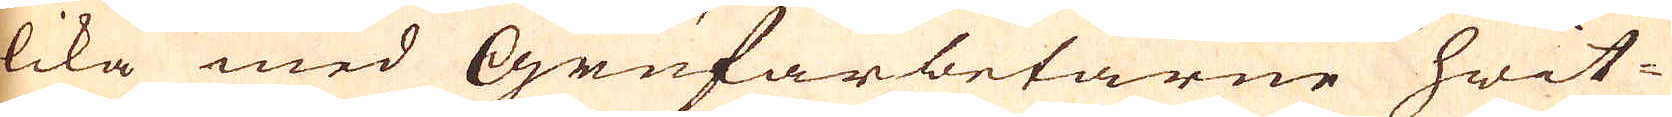lika med Grufarbetarne hwit-
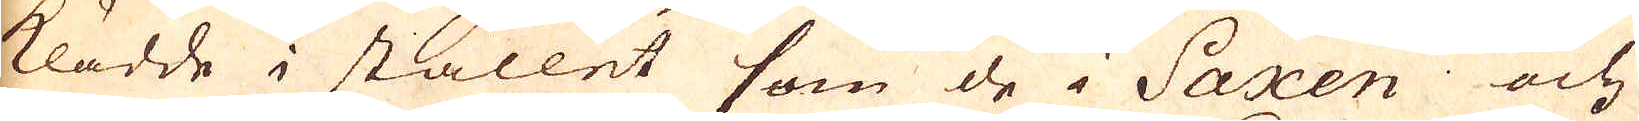klädde i stället som de i Saxen och
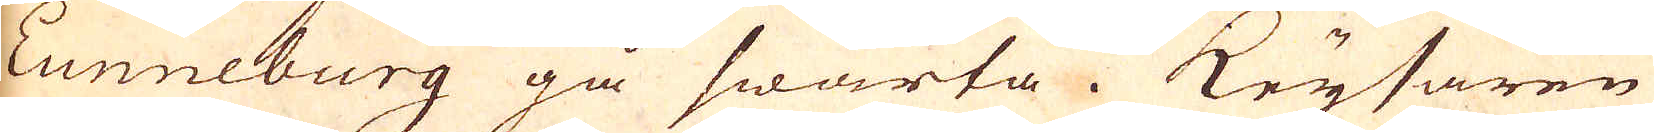Lunneburg gå swarta. Keysaren
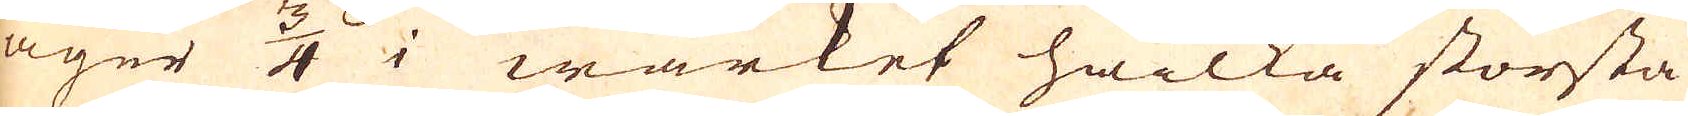äger 3/4 i wärket hwilka största
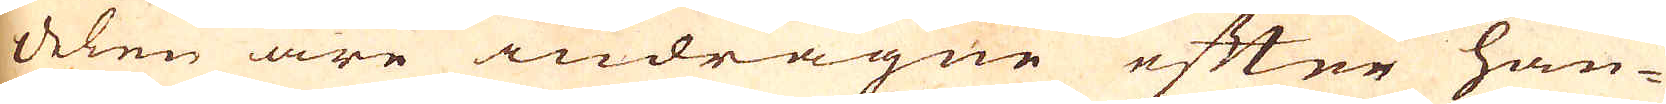delen äre indragne efter han-
